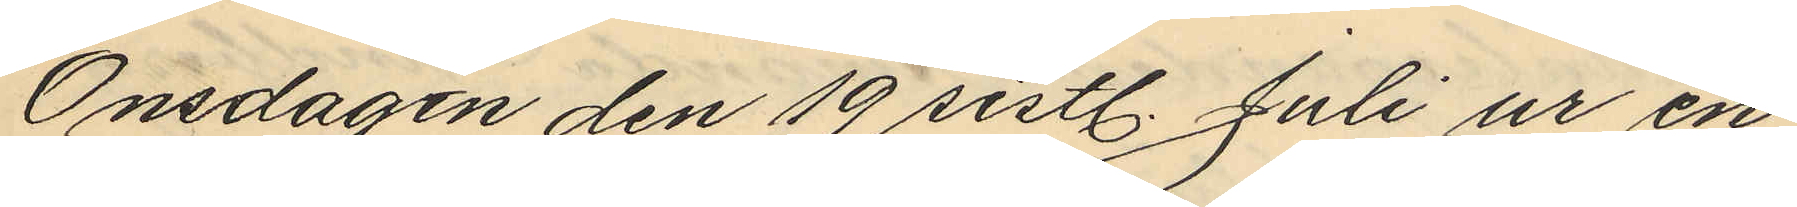Onsdagen den 19 sistl. Juli ur en
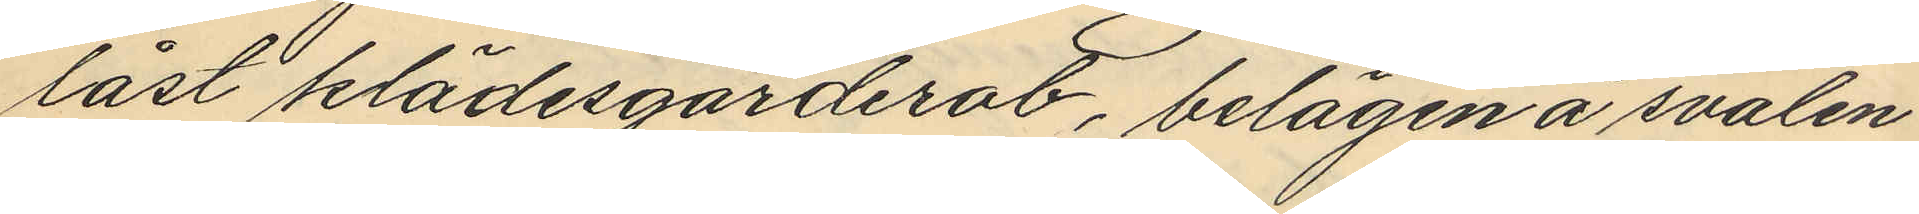låst klädesgarderob, belägen å svalen
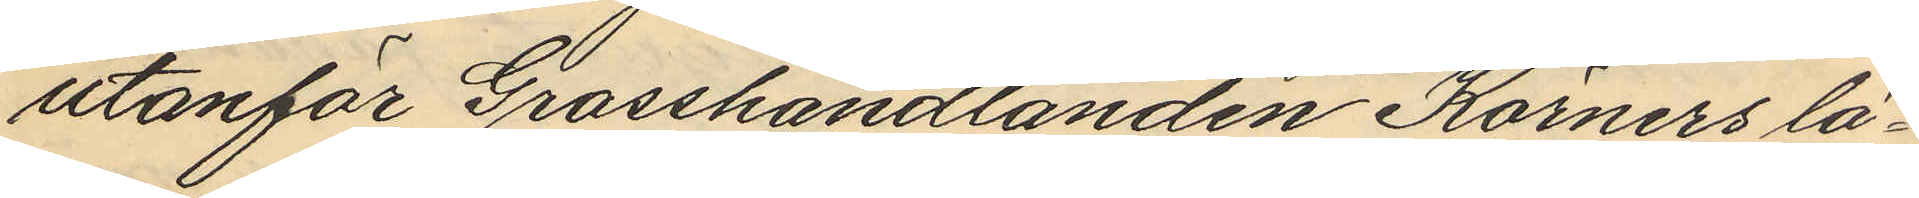utanför Grosshandlanden Körners lä¬
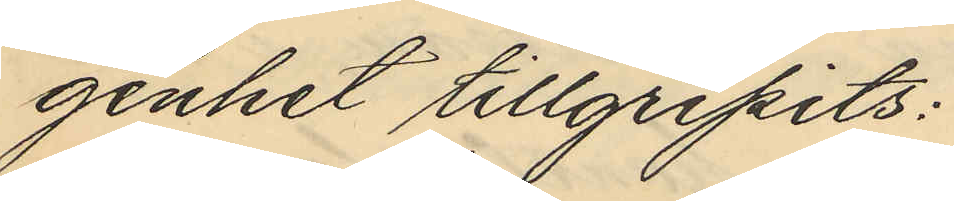genhet tillgripits:
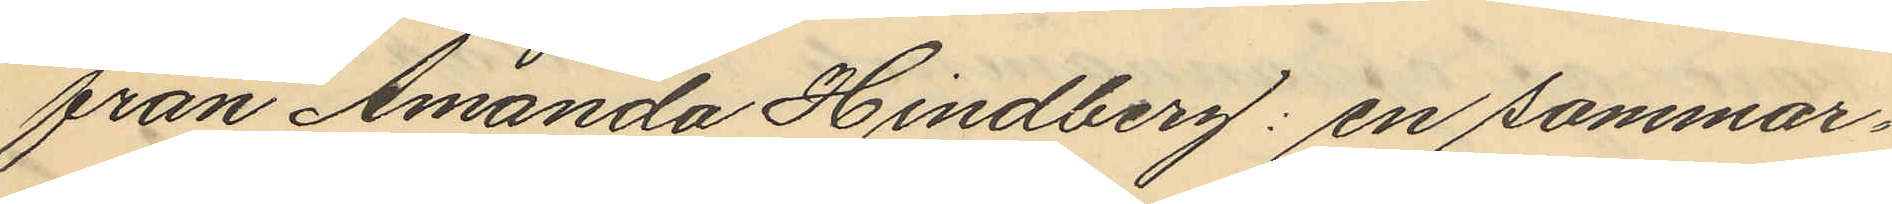från Amanda Hindberg: en sommar¬
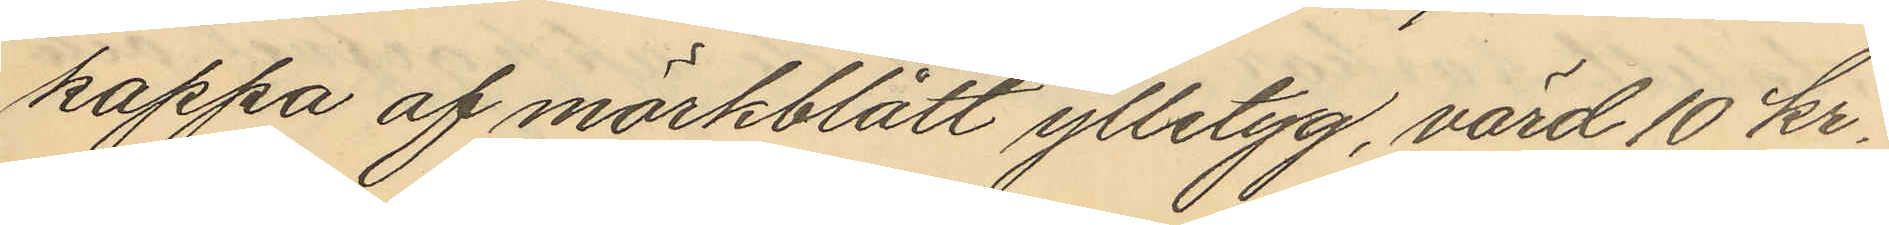kappa af mörkblått ylletyg, värd 10 kr.
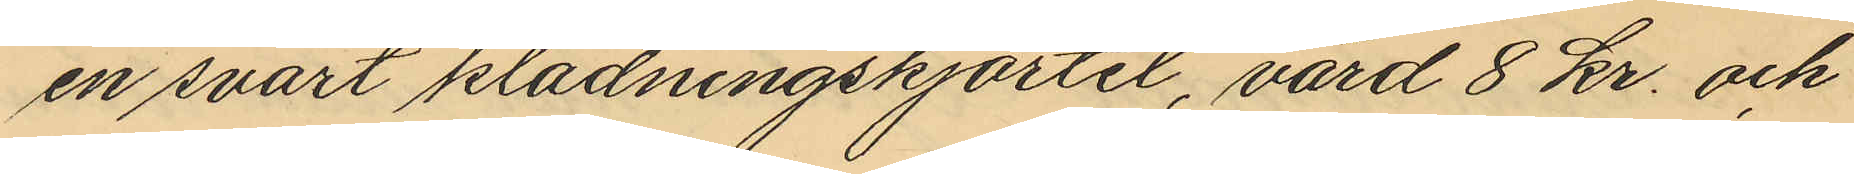en svart klädningskjortel, värd 8 kr. och
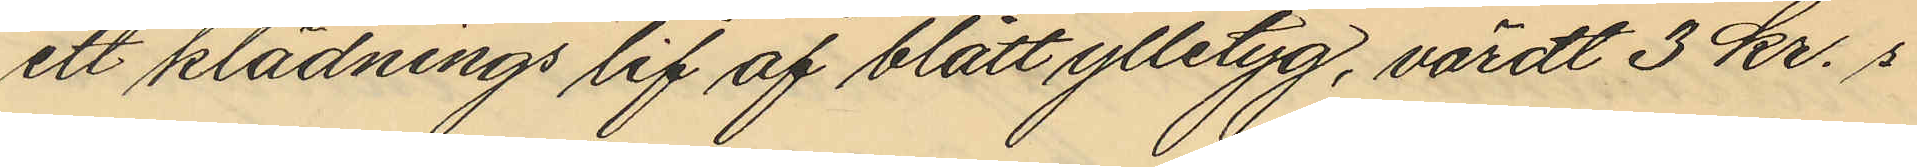ett klädnings lif af blått ylletyg, värdt 3 kr. 
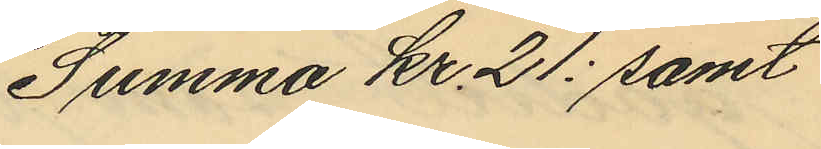Summa Kr 21: samt
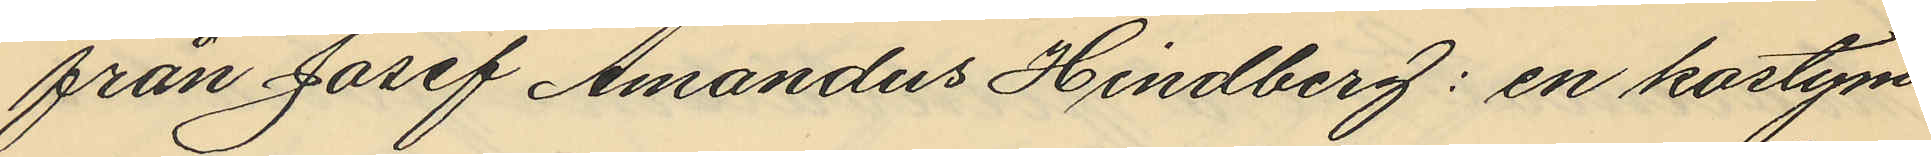från Josef Amandus Hindberg: en kostym
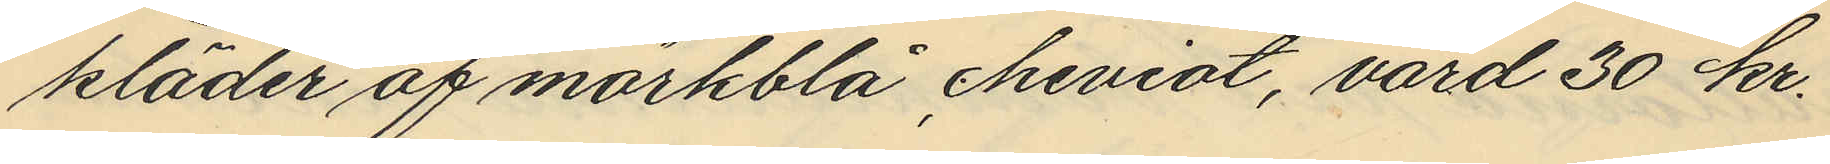kläder af mörkblå cheviot, värd 30 kr.
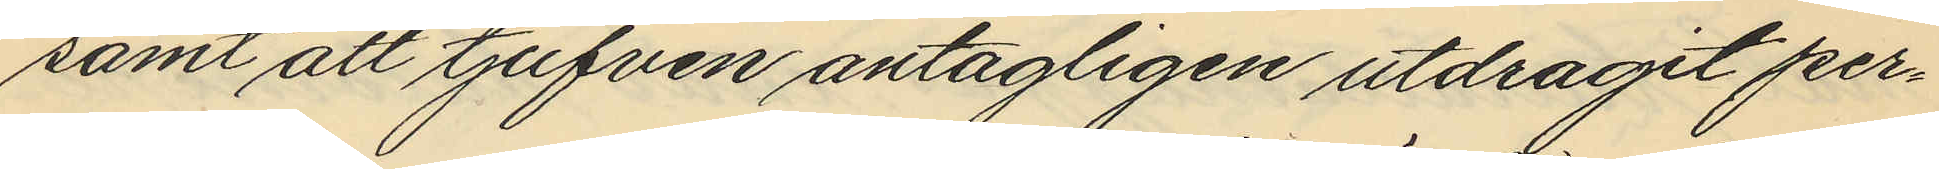samt att tjufven antagligen utdragit per¬
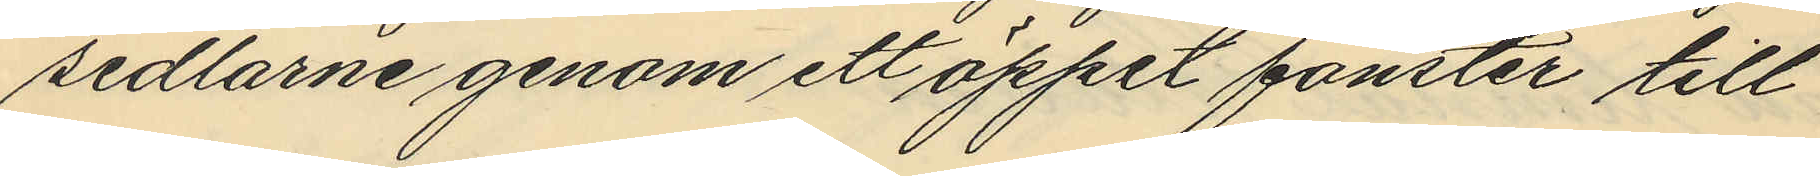sedlarne genom ett öppet fönster till
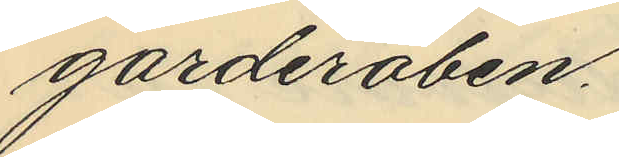garderoben.
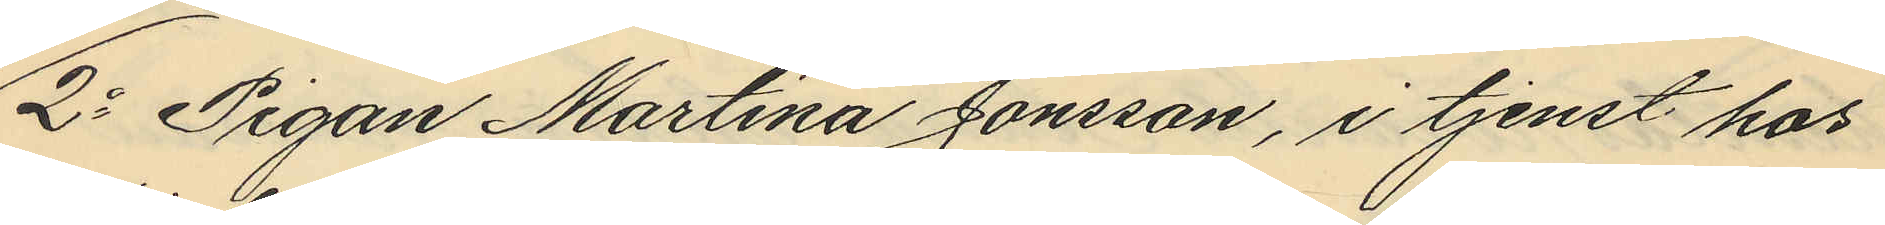2o Pigan Martina Jönsson, i tjenst hos
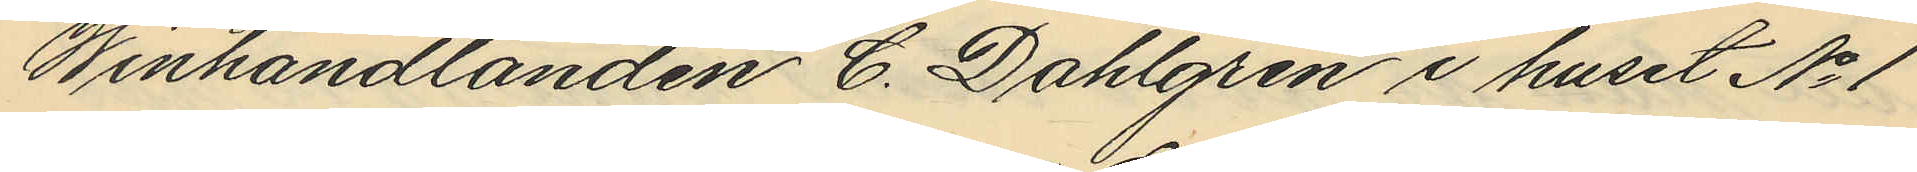Winhandlanden C. Dahlgren i huset No 1
